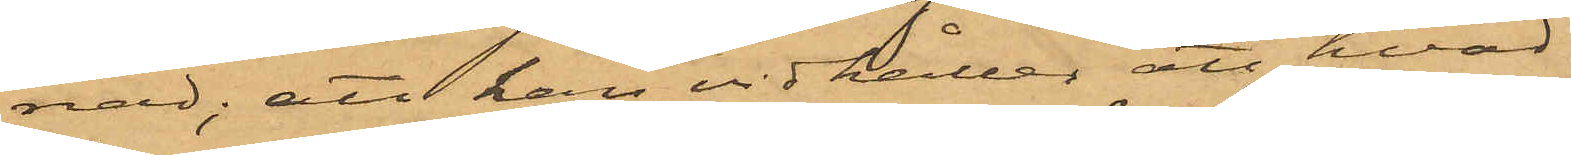nad; att han vidhåller att hvad
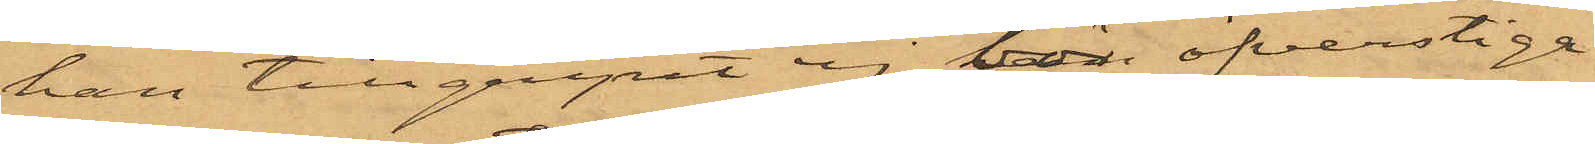han tillgripit ej bör öfverstiga
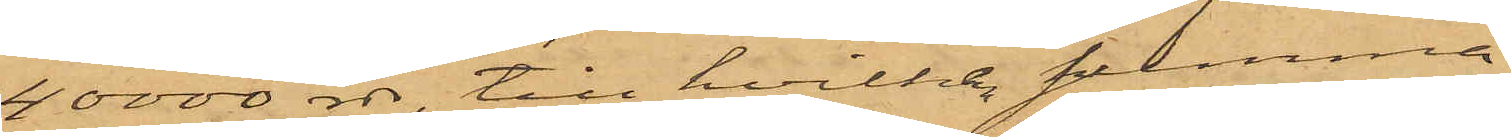40000 rdr, till hvilken summa
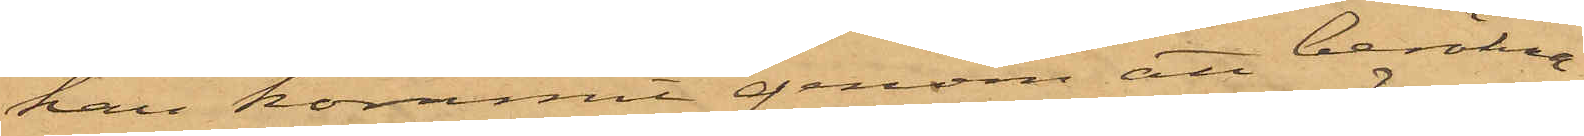han kommit genom att beräkna
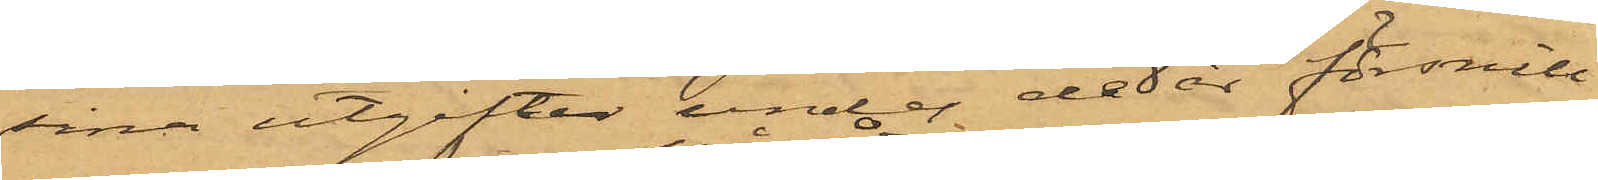sina utgifter under de 8 år försnill¬
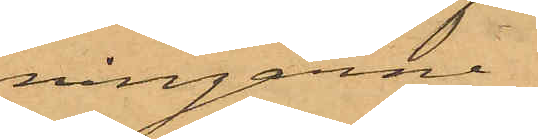ningarne
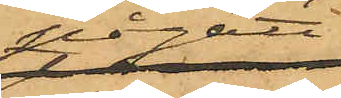pågått;
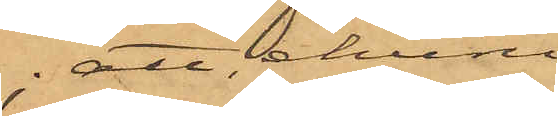att ehuru
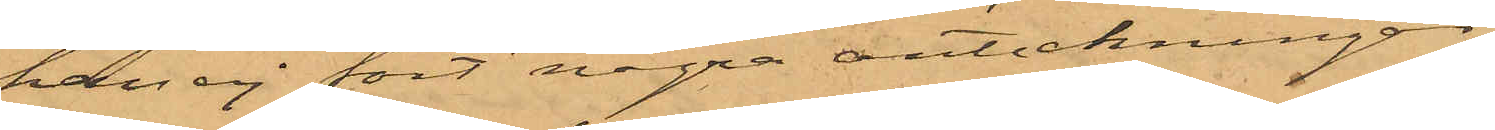han ej fört några anteckningar
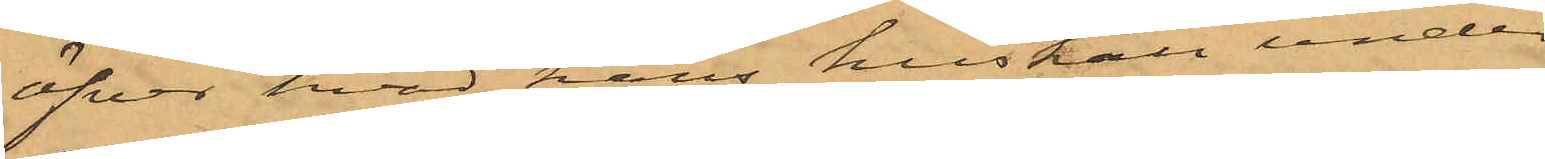öfver hvad hans hushåll under
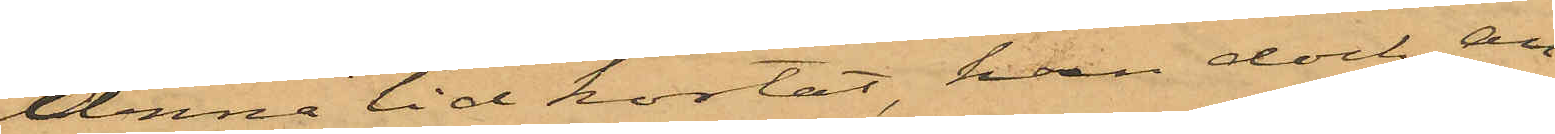denna tid kostat, han dock an¬
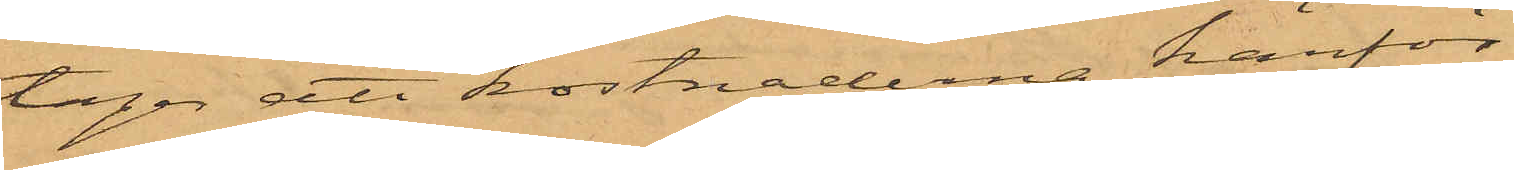tager att kostnaderna härför
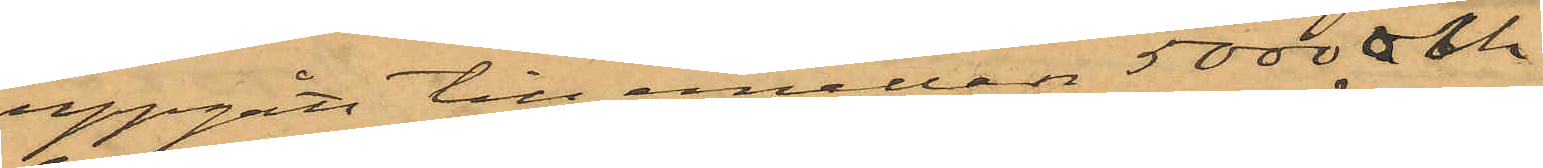uppgått till emellan 5000 och
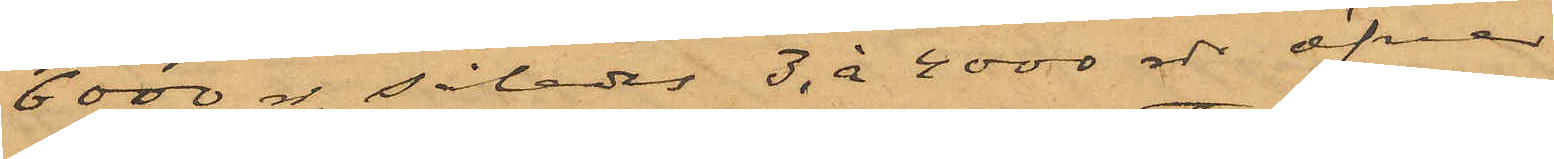6000 rdr. således 3 à 4000 rdr öfver
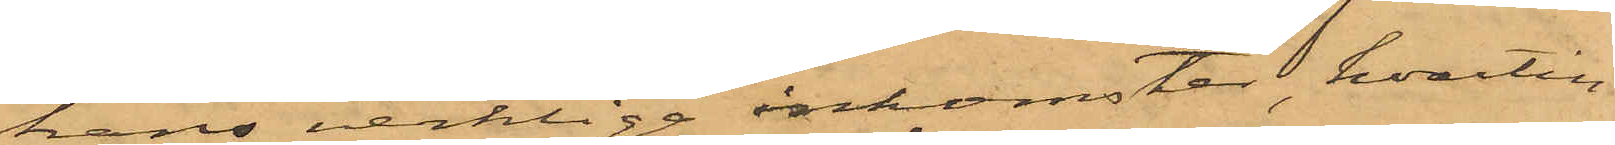hans verkliga inkomster, hvartill
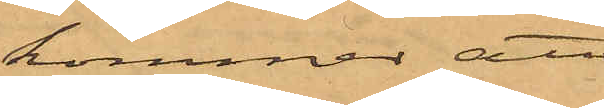kommer att
